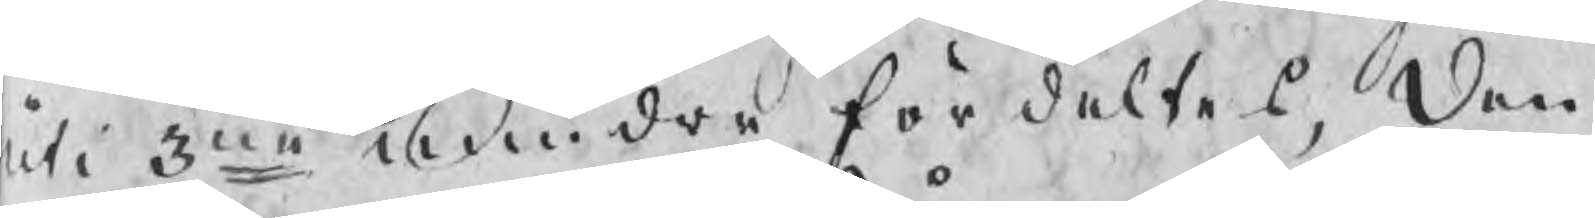uti 3ne mindre fördeltes, Den
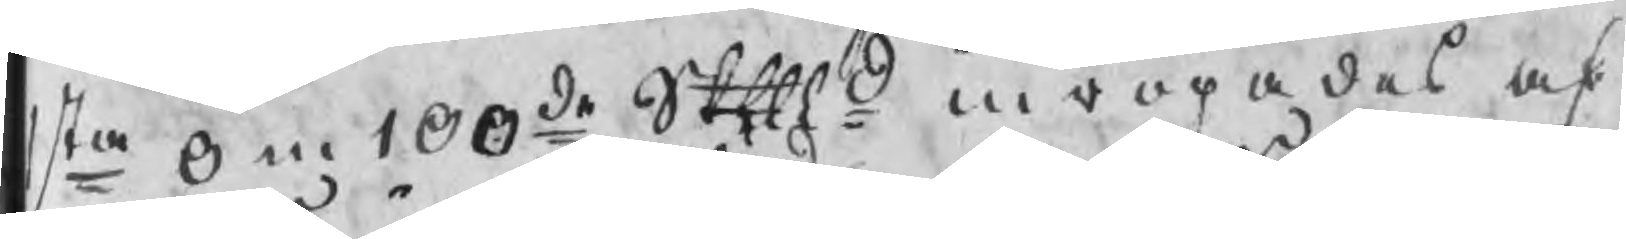1sta om 100de Skpd inropades af
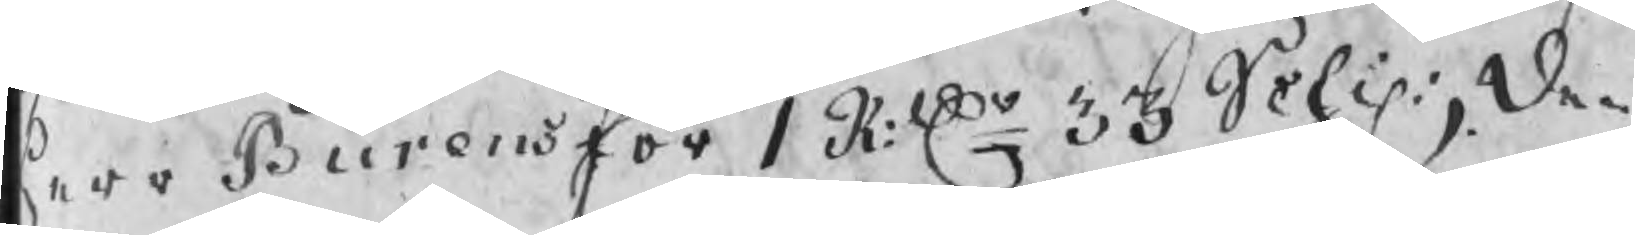herr Burens för 1 R:dr 33 Schil:, Den
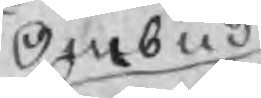Ombud
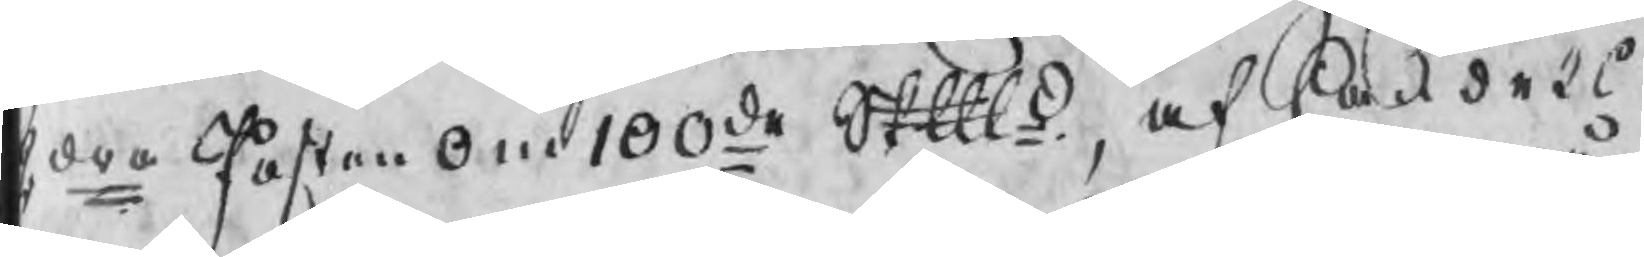2dra Posten om 100de Skpd, af Handels
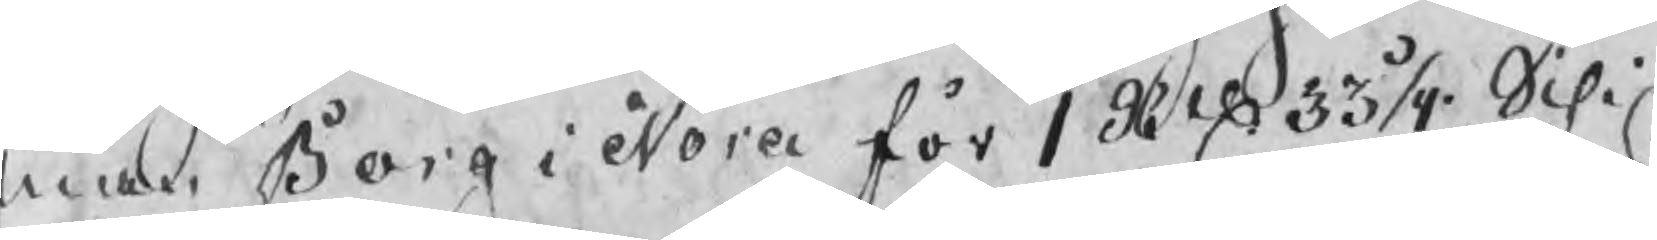man Borg i Nora för 1 Rdr 33 1/4 Schil
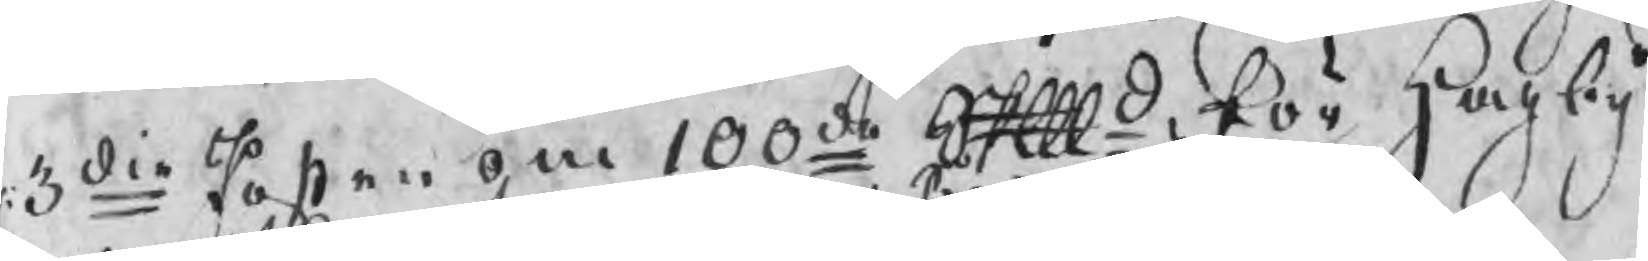3die Posten om 100de Skpd, för Hagby
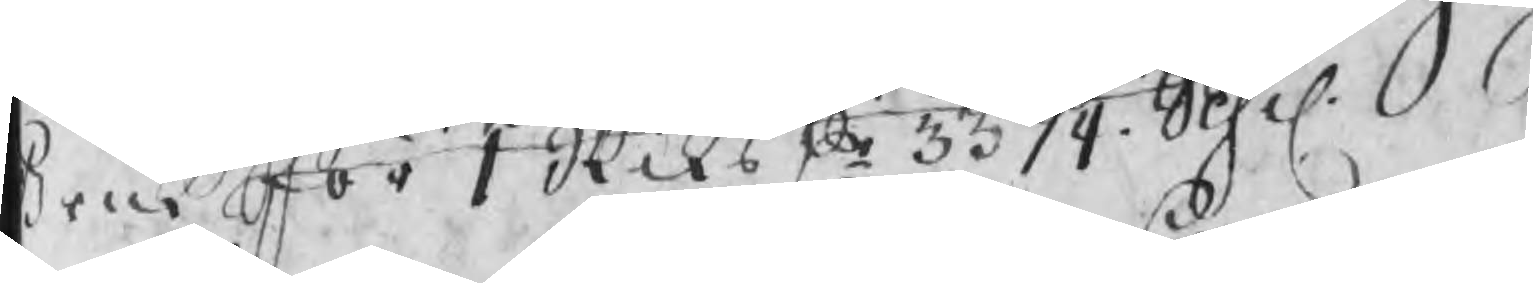Bruk för 1 Riksdr 33 1/4 Schil.
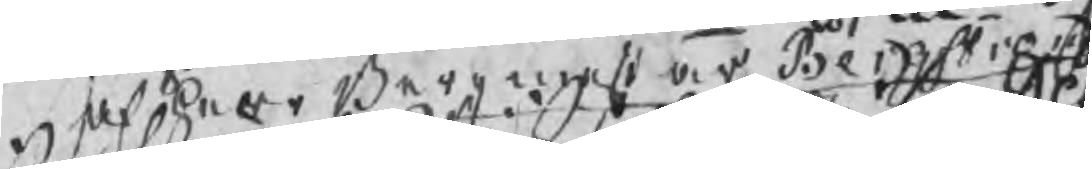af Herr Bergmestar Bergstrand
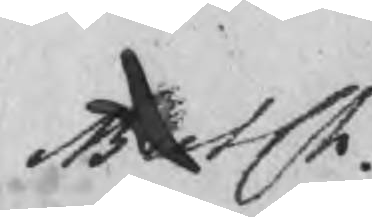MutCh.
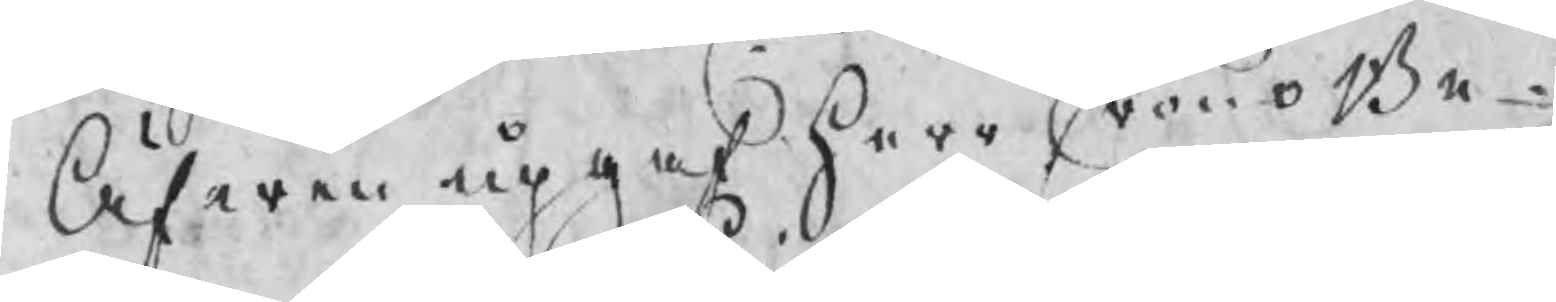Äfwen upgaf Herr CronoBe¬
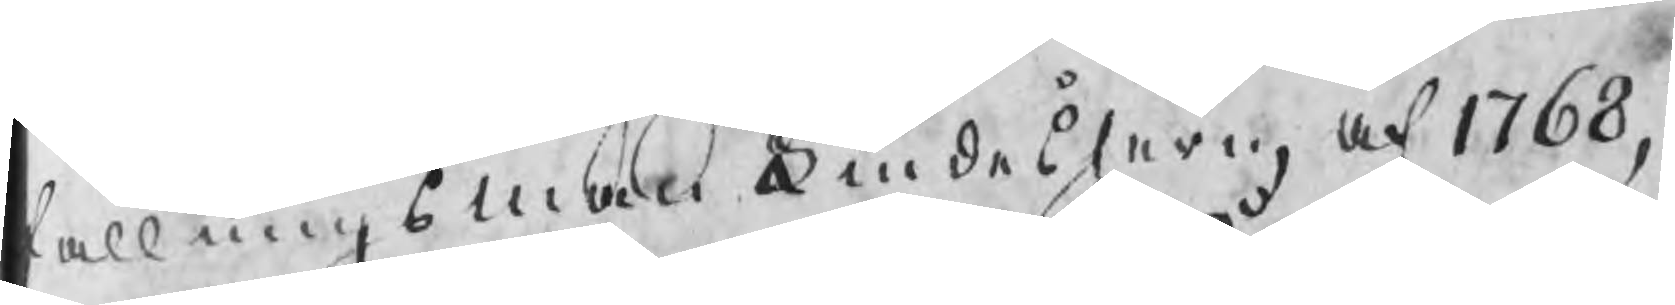fallningsman Lindesjern, af 1768,
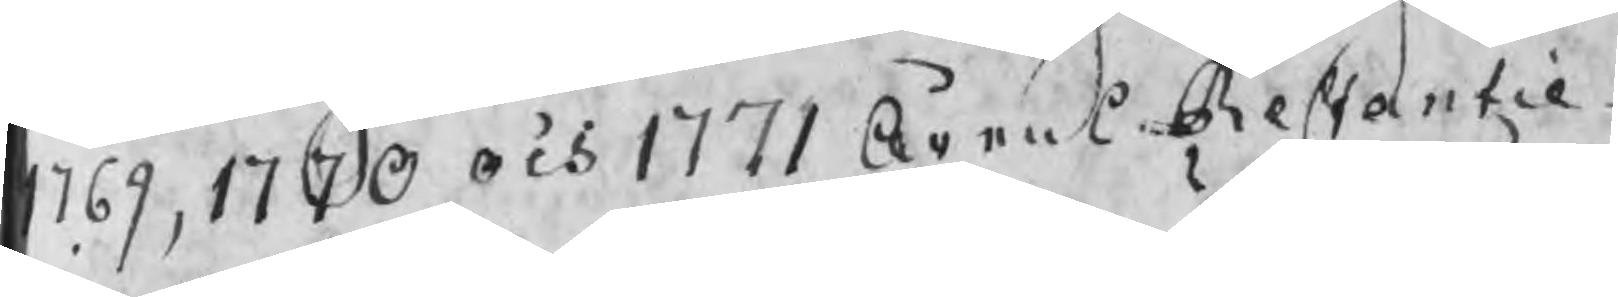1769, 1770 och 1771 Årens Restantiæ
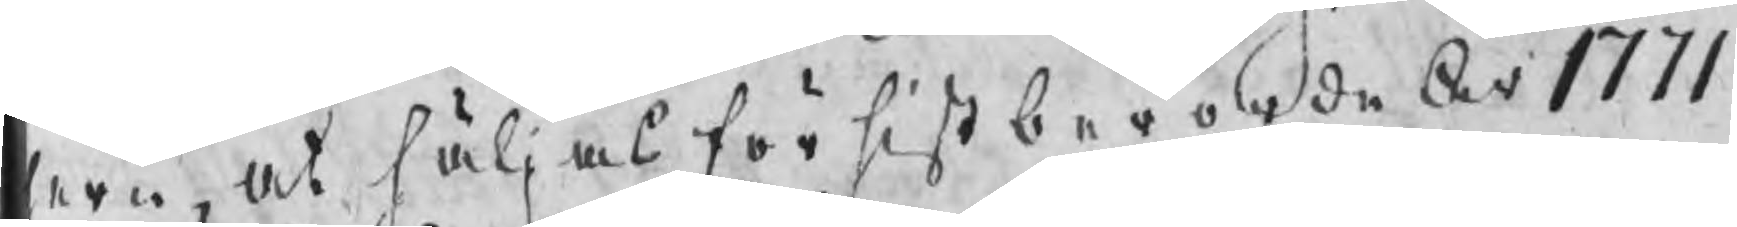jern, at säljas för sist berörde År 1771
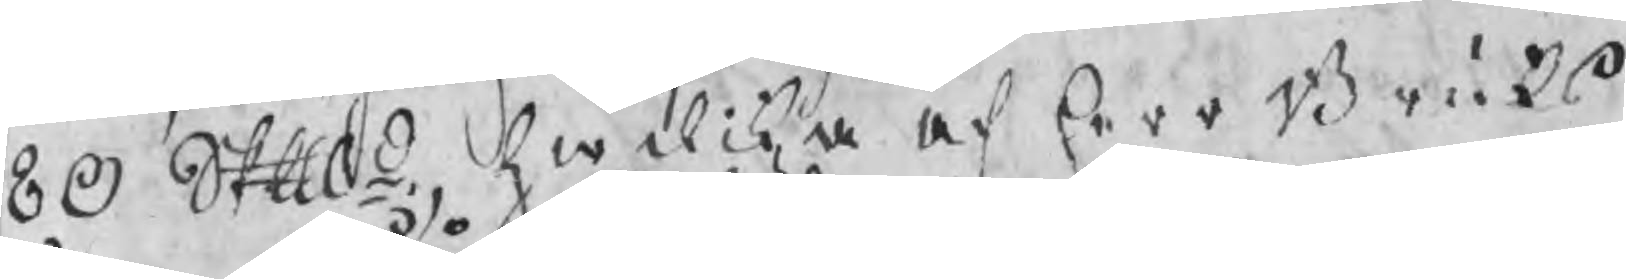80 Skpd, hwilka af herr Bruks
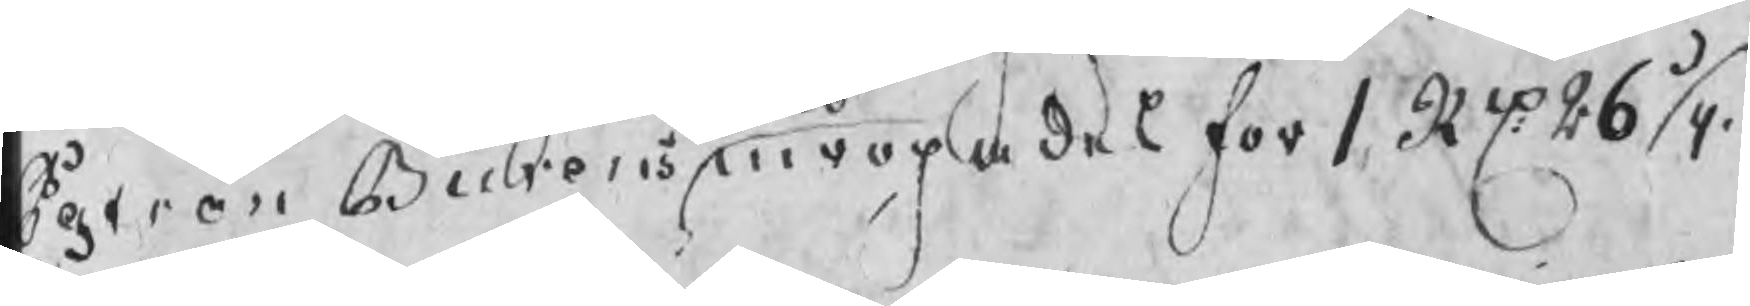Patron Burens inropades för 1 Rdr 26 1/4
